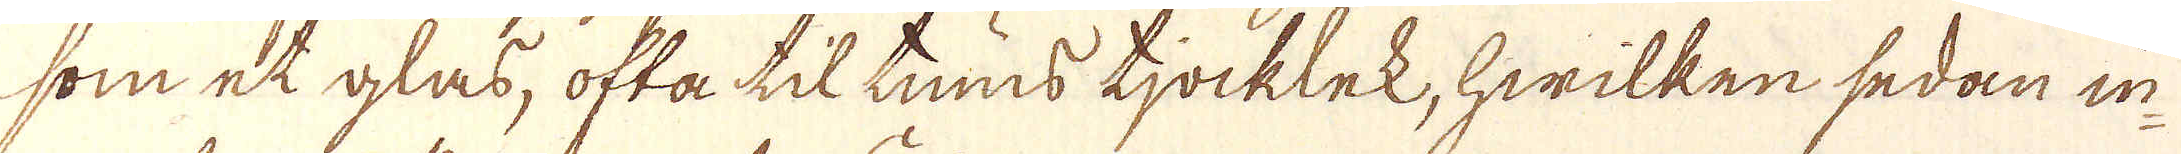som et glas, ofta til tums tjocklek, hwilken sedan in-
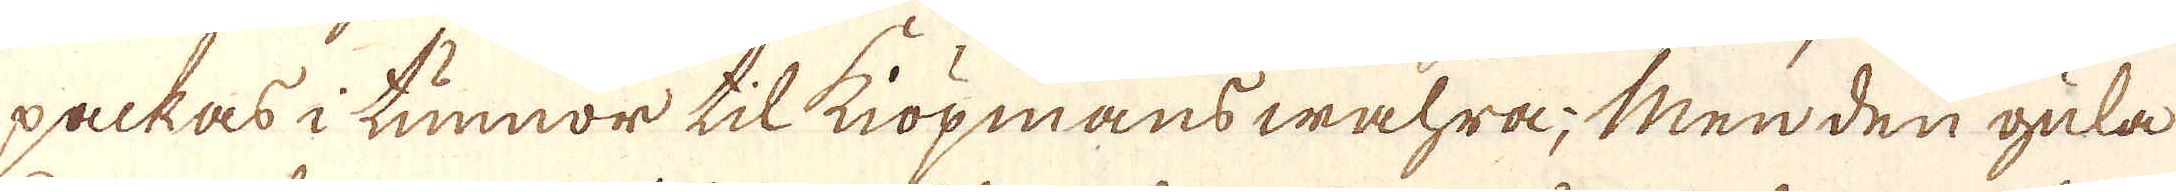packas i tunnor til kiöpmanswahra; Men den gula
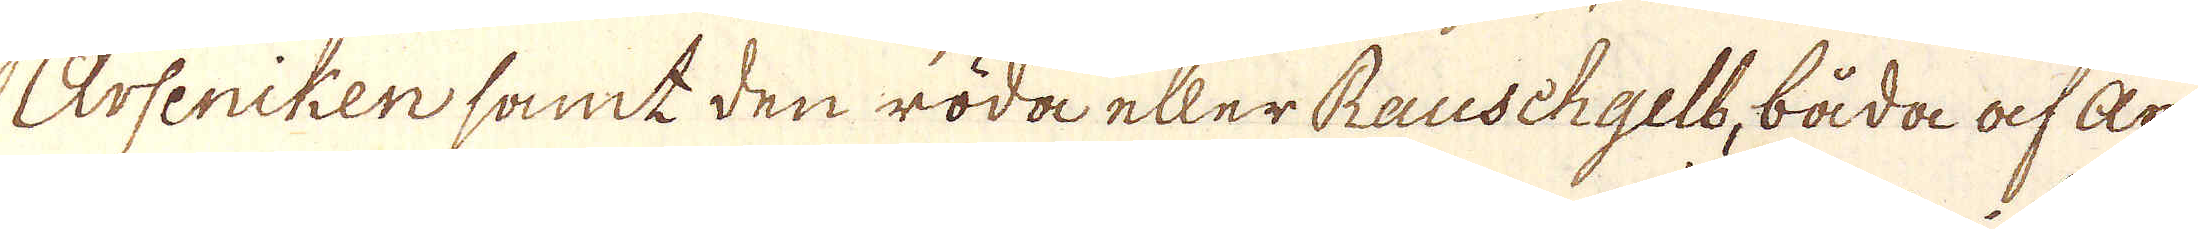Arseniken samt den röda eller Rauschgelt, båda af ar-
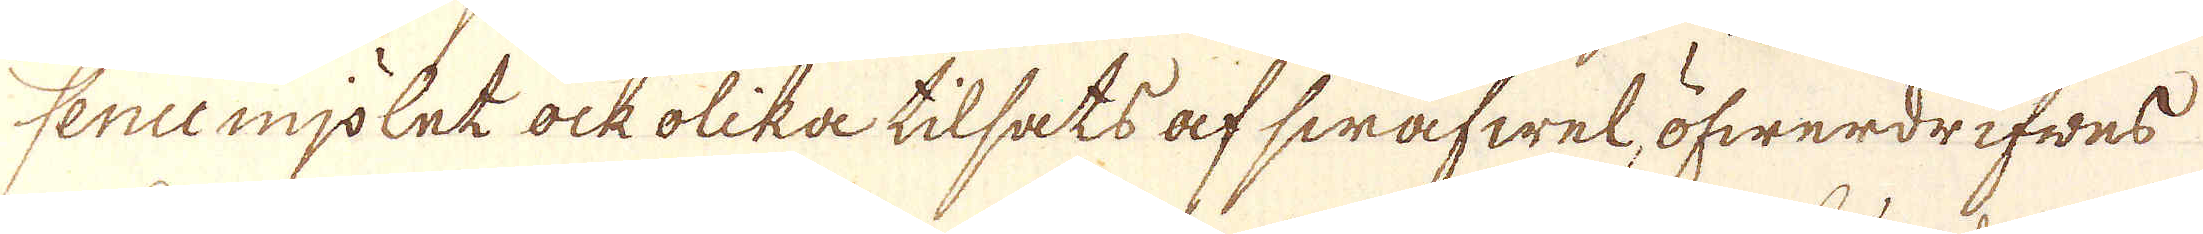sencemjölet ock olika tilsats af swafwel, öfwerdrifwes
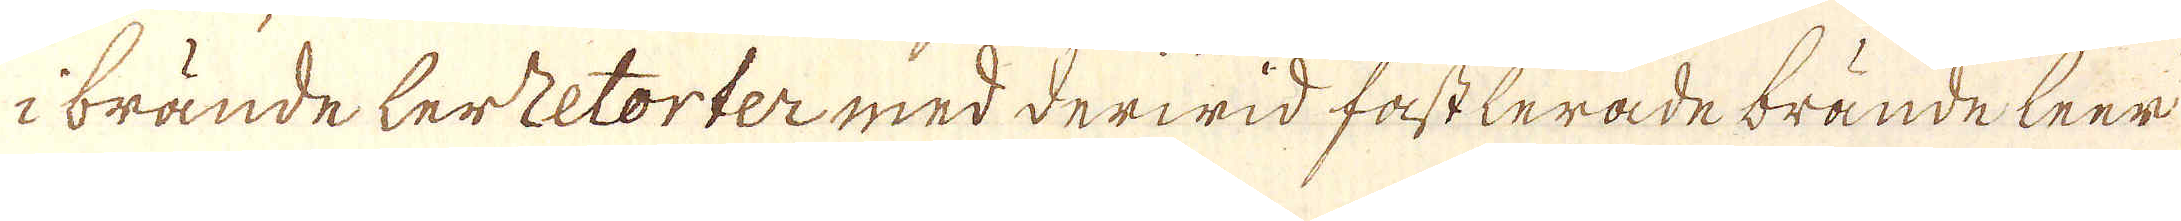i brände lerretorter med derwid fastlerade brände leer
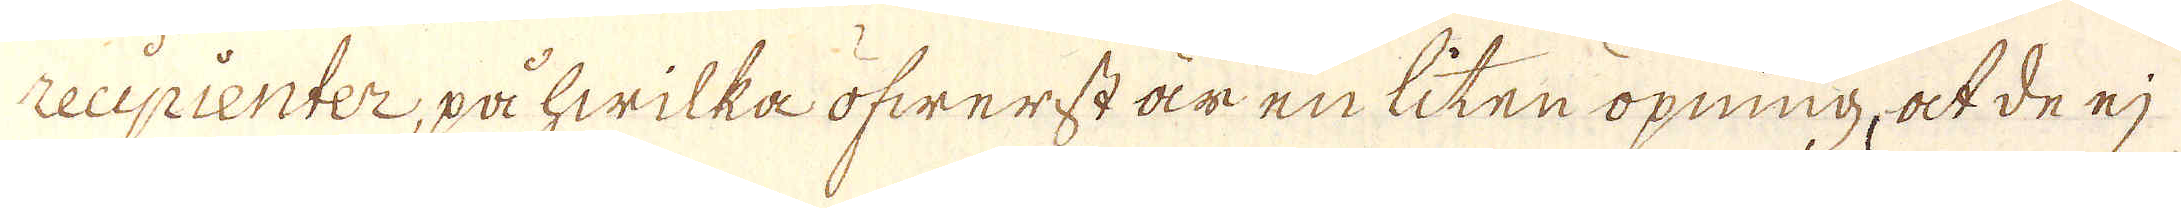reupienter, på hwilka öfwerst är en liten öpning, at de ej
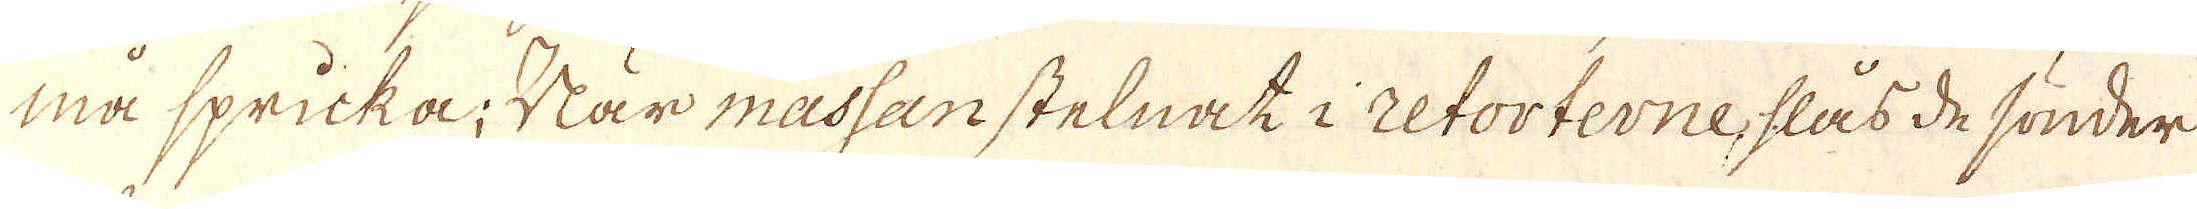må spricka. När massanstelnat i retorterne, slås de sönder
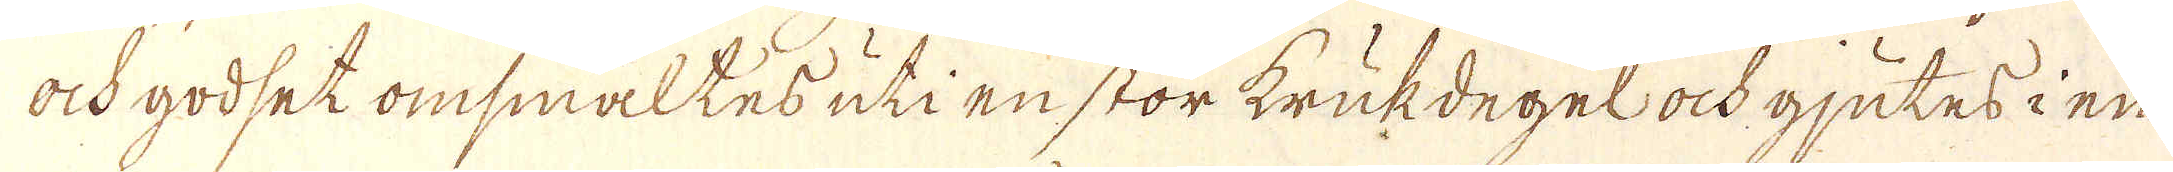ock godset omsmältes uti en stor krukdegel ock gjutes i en
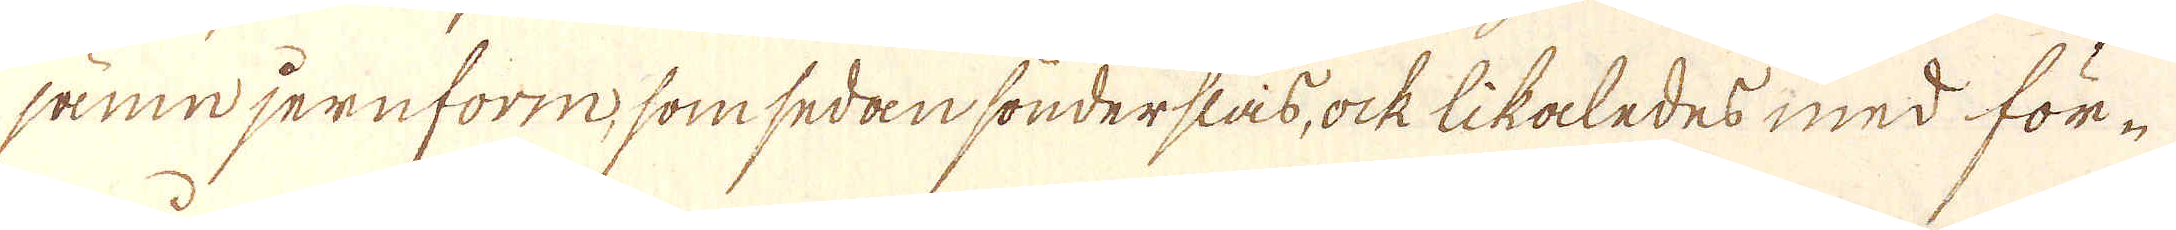jämn jernform, som sedan sönderslås, ock likaledes med för-
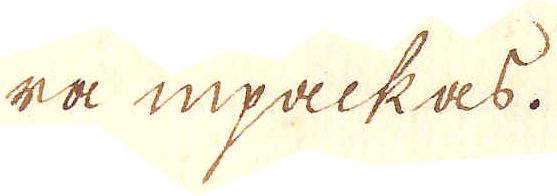ra inpackas.
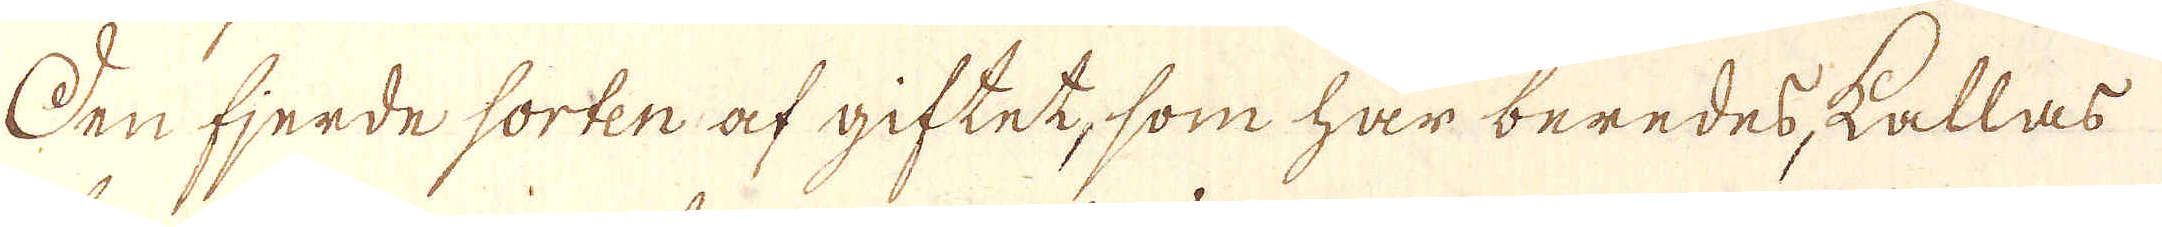Den fjerde sorten af giftet, som har beredes, kallas
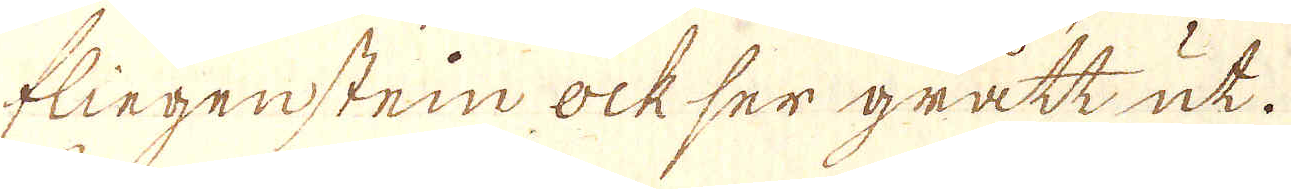fliegensten ock ser grått ut.
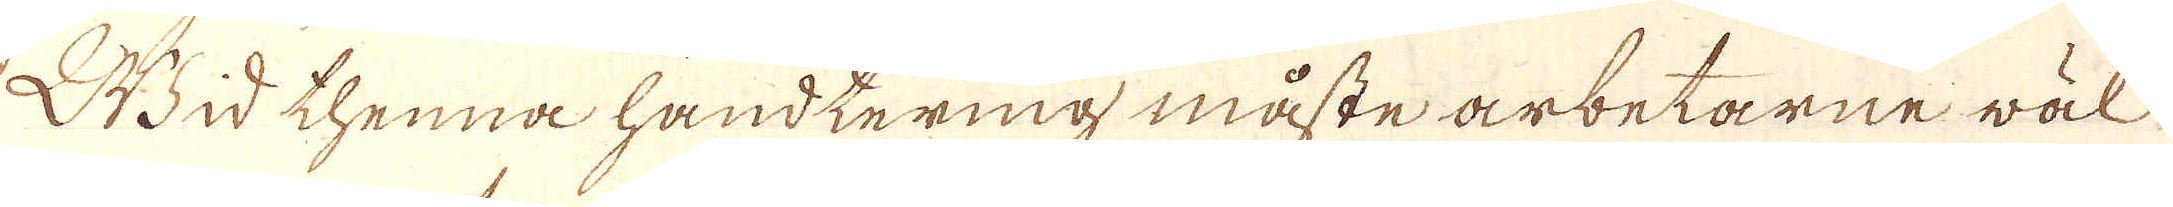Wid thenna handtering måste arbetarne wäl
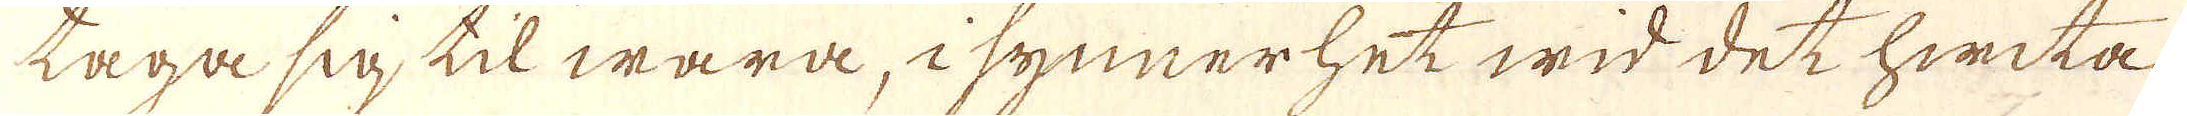taga sig til wara, i synnerhet wid det hwita
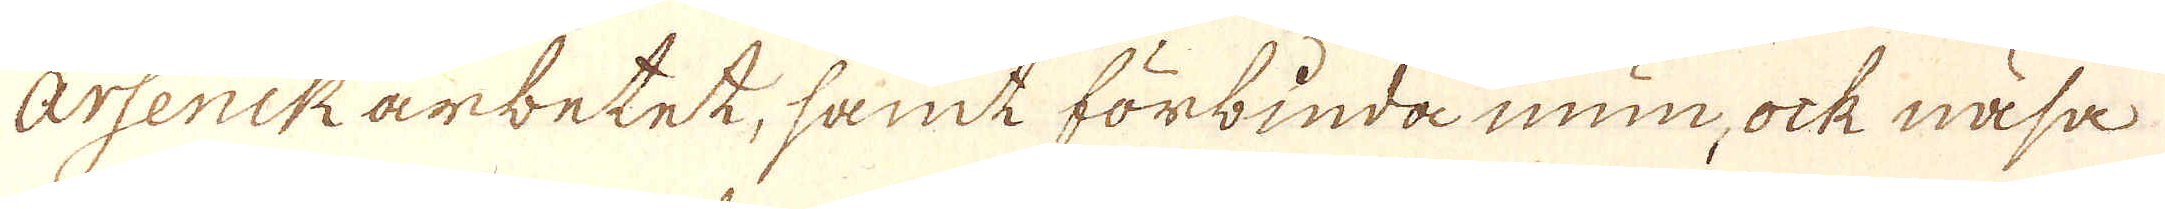Arsenikarbetet, samt förbinda min, ock näsa
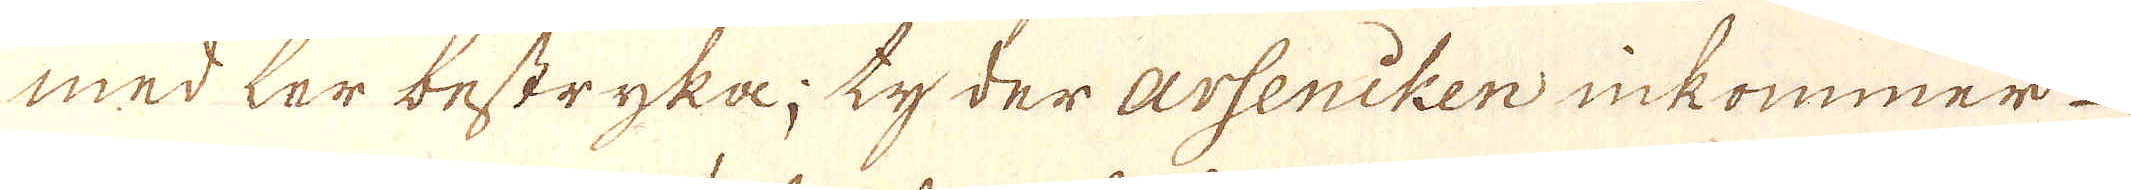med ter bestryka; ty der arseniken inkommer
